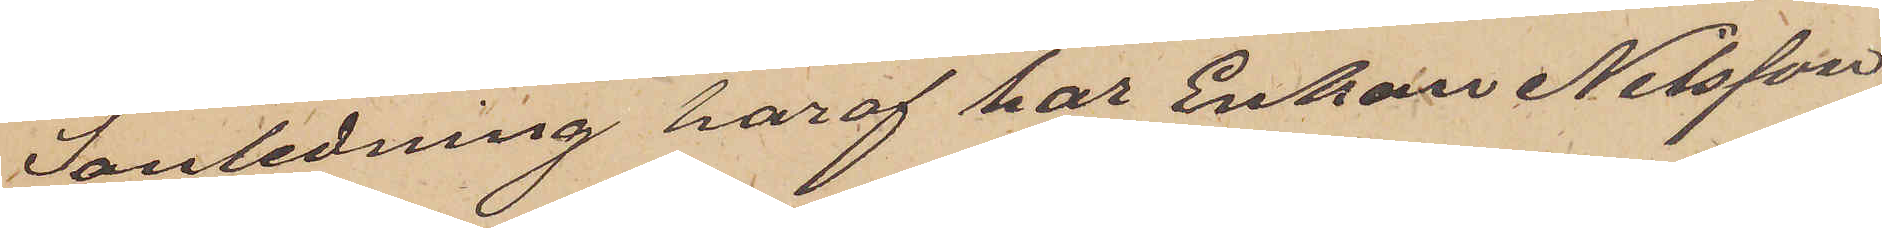I anledning häraf har Enkan Nilsson
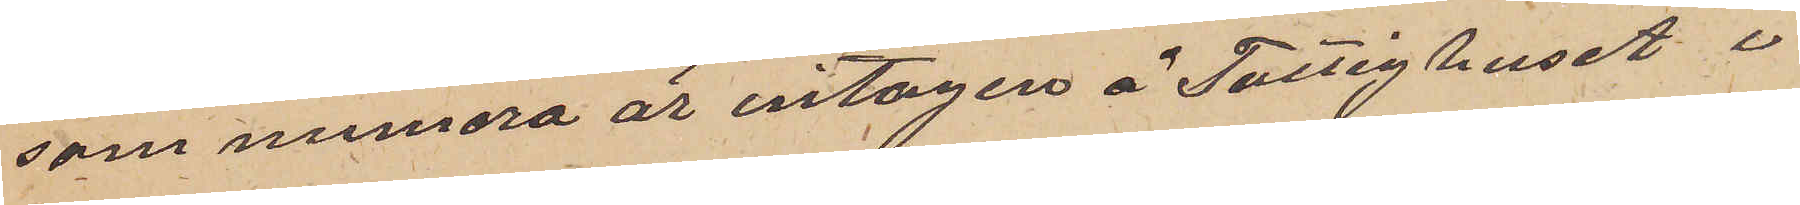som numera är intagen å Fattighuset i
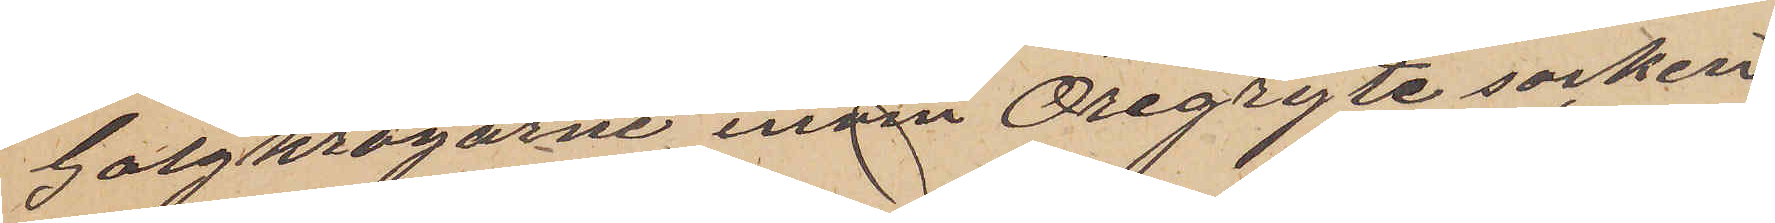Galgkrogarne inom Öregryte socken
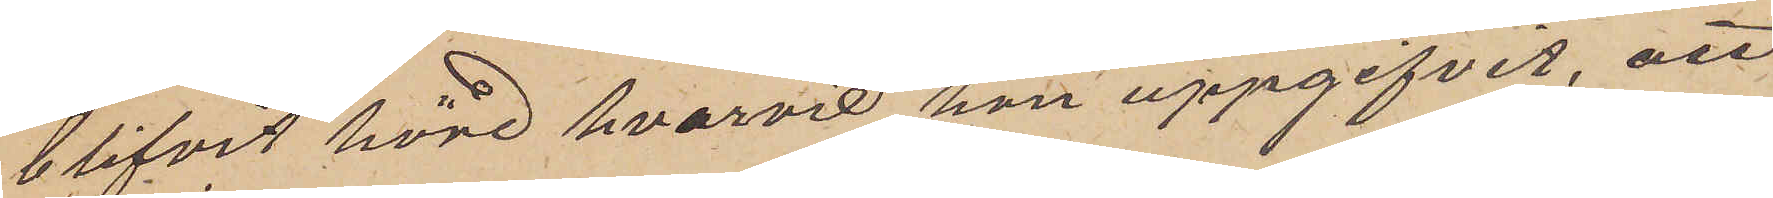blifvit hörd hvarvid hon uppgifvit, att
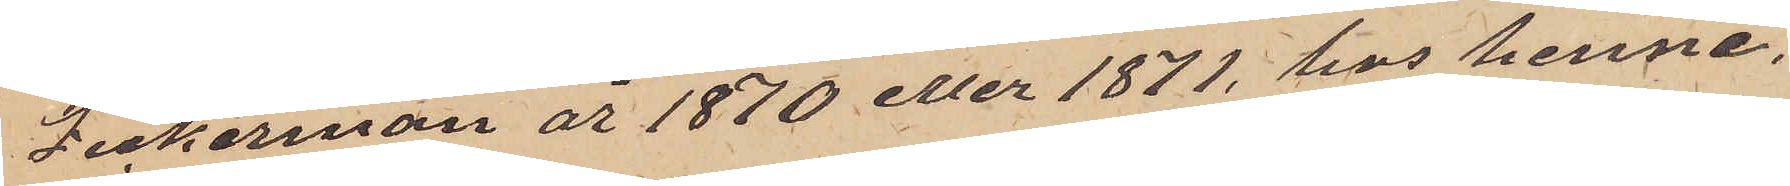Zickerman år 1870 eller 1871, hos henne,
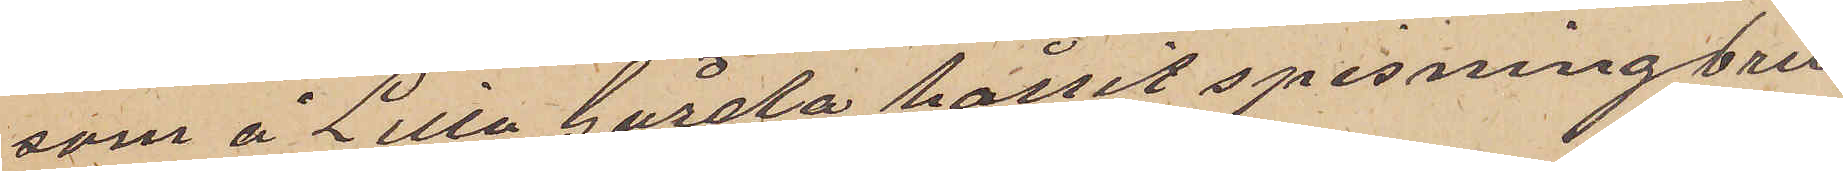som å Lilla Gårda hållit spisning bru¬
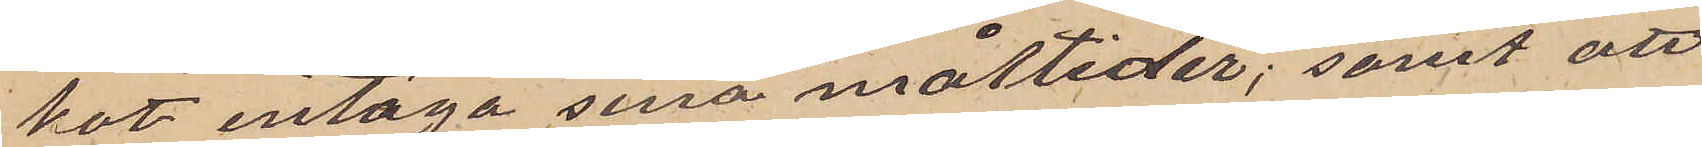kat intaga sina måltider; samt att
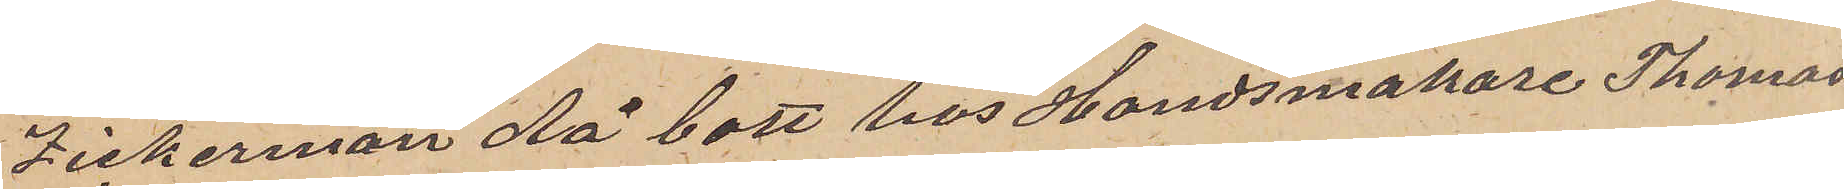Zickerman då bott hos Handskmakare Thomas
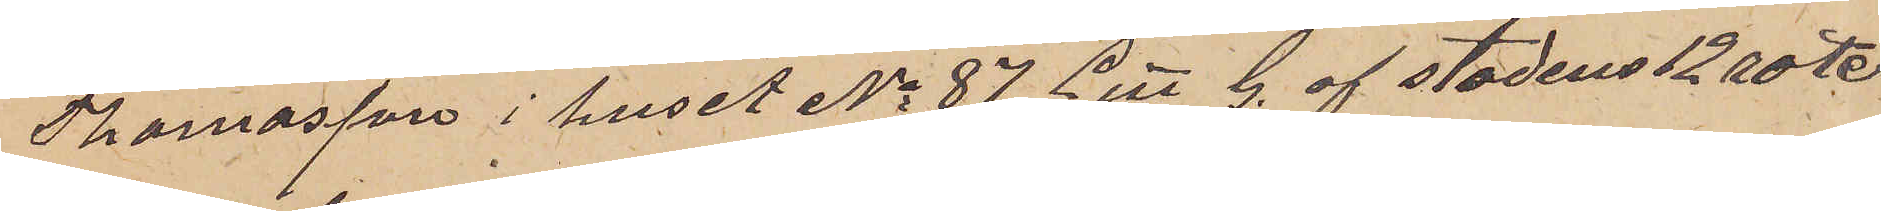Thomasson i huset No 87 Litt G. af stadens 12 rote.
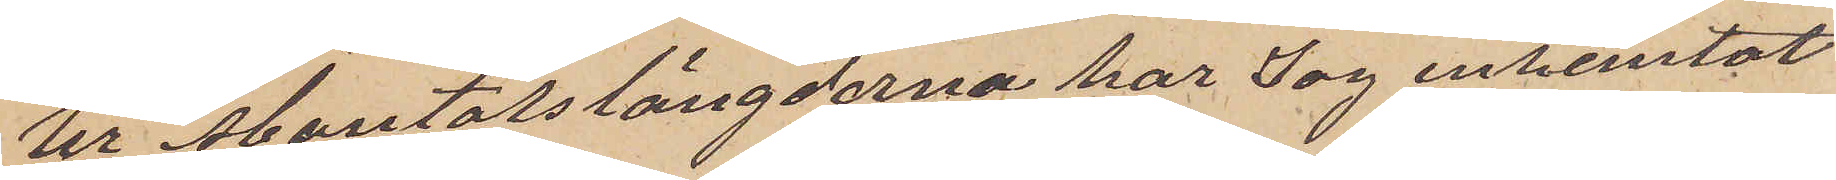Ur mantalslängderna har jag inhemtat
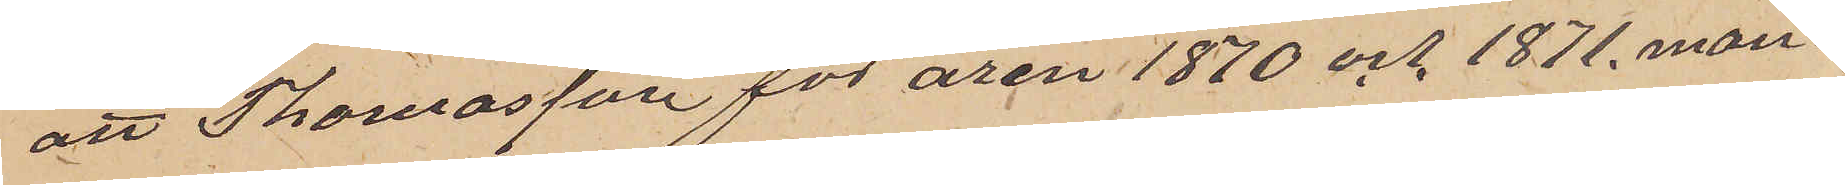att Thomasson för åren 1870 och 1871 man¬
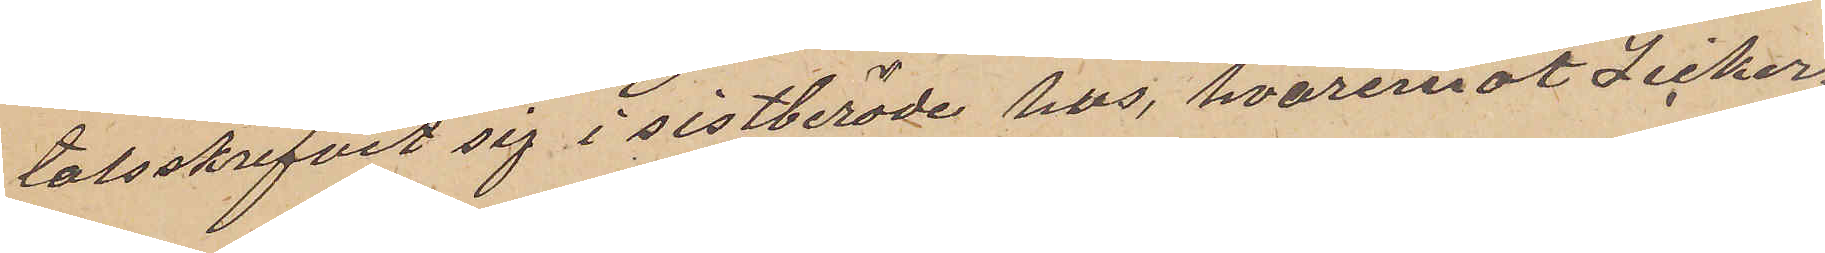talsskrifvit sig i sistberörde hus, hvaremot Zicker¬
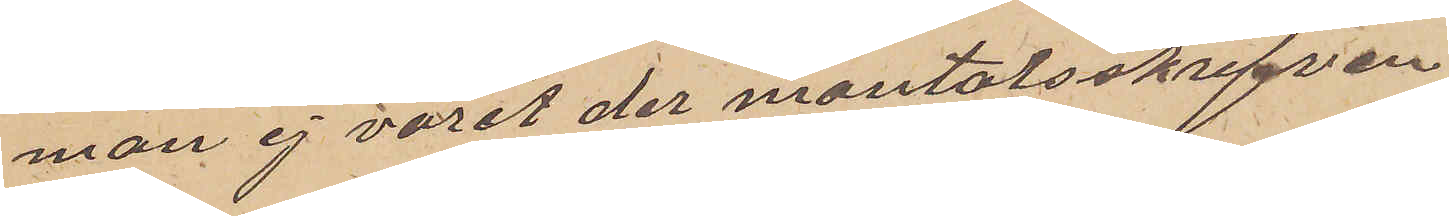man ej varit der mantalsskrifven
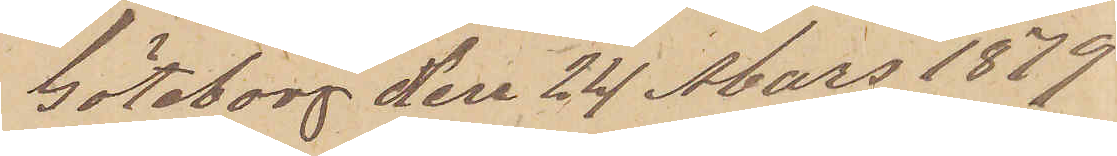Göteborg den 24 Mars 1879
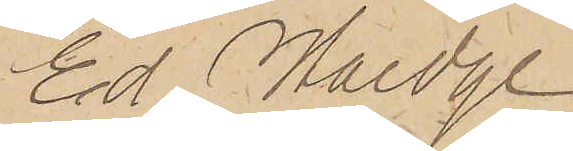Ed. Haedge
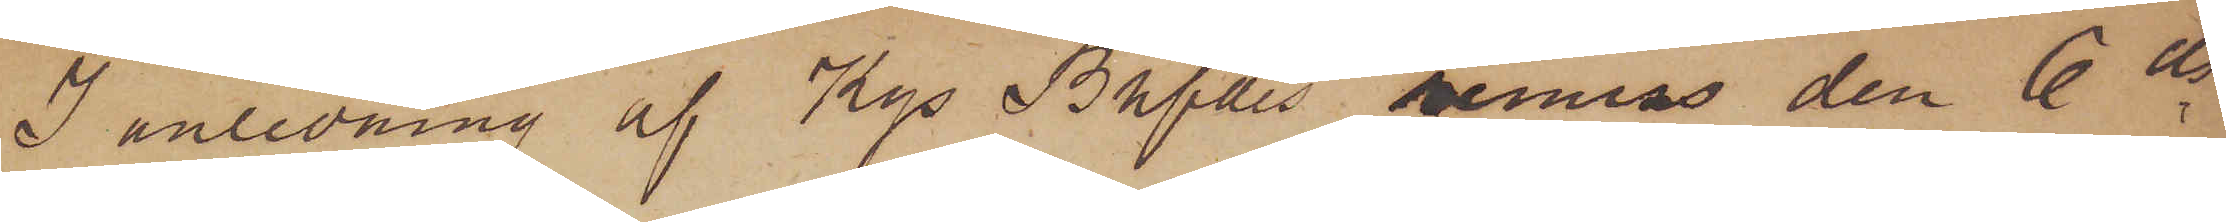I anledning af Kgs Bhfdes remiss den 6 ds,
